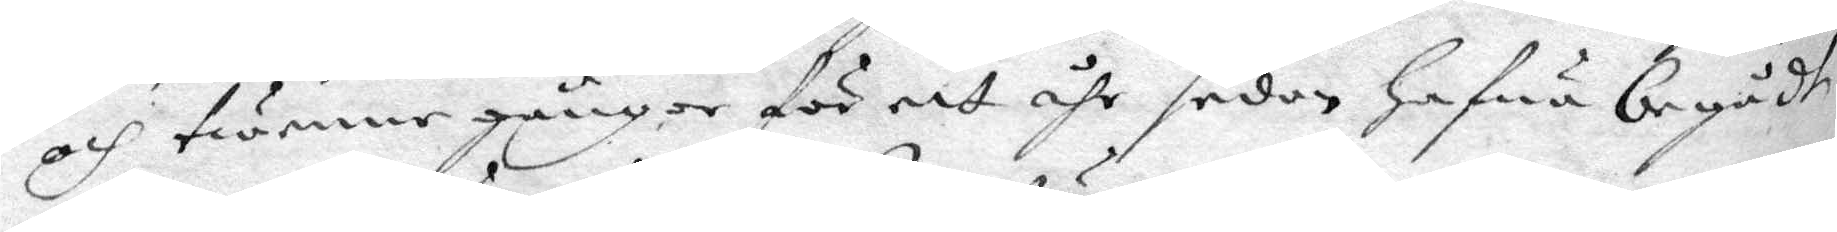och twenne gånger för ett åhr sedan hafwa begådt
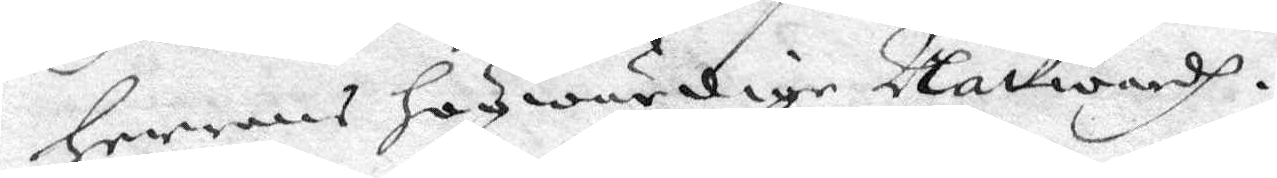Herrans högwärdige Nattwardh.
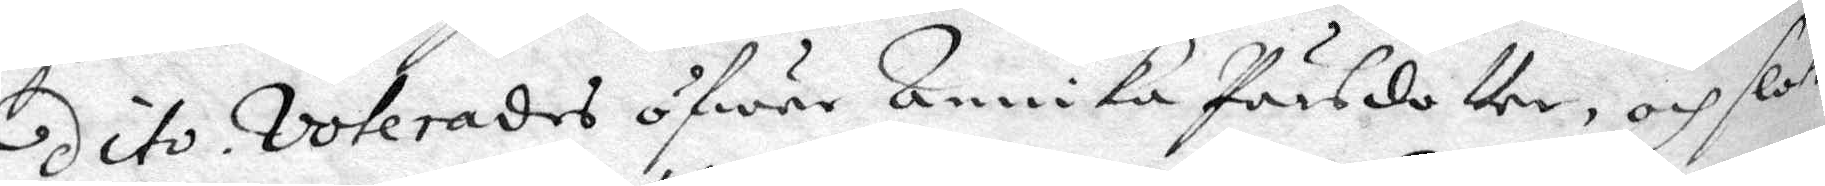dito voterades öfwer Annika Pärsdotter, och slöts
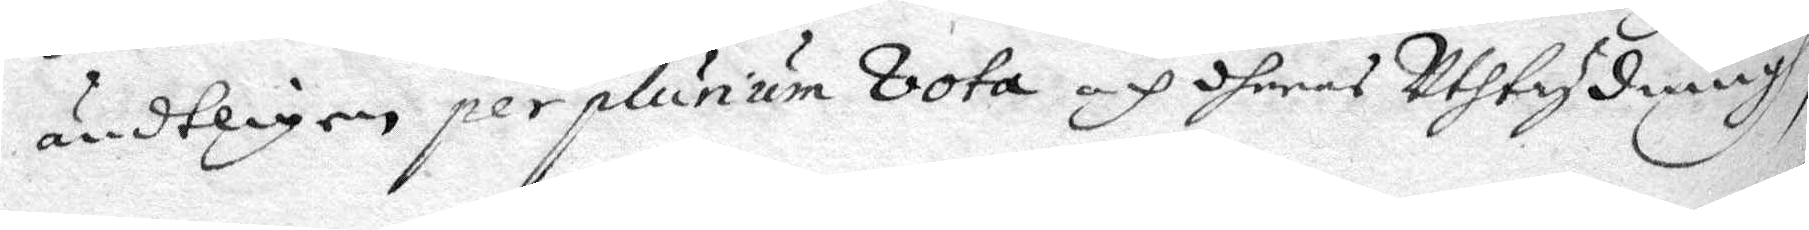ändtligen per plunum vota och dheras Uthtydningh,
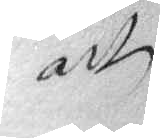att
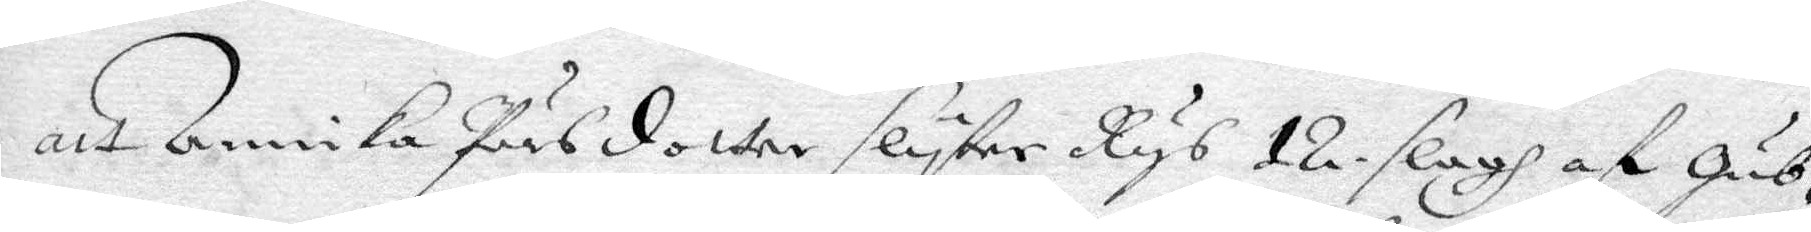att Annika Pärsdotter slyter Rys 12 slagh af Gub¬
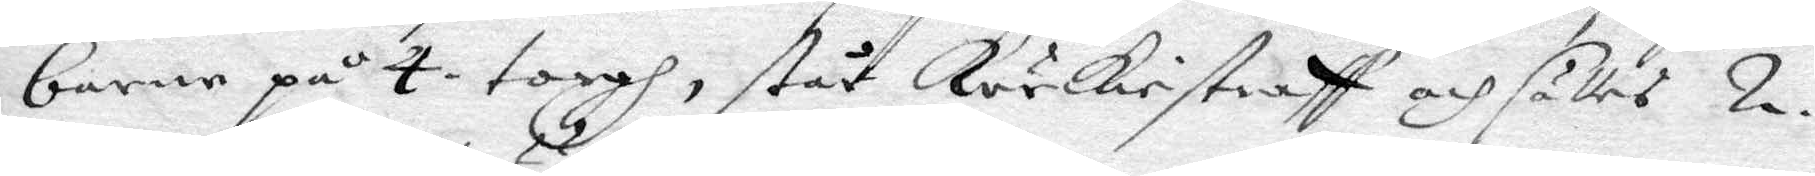barne på 4 torgh, står körkiestraff och sättes 2.
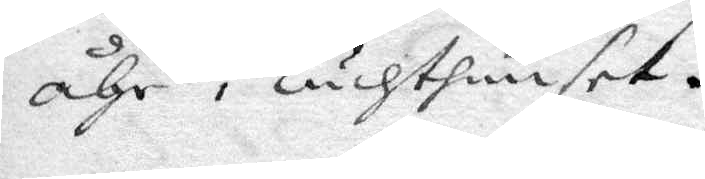åhr i Tuchthuuset.
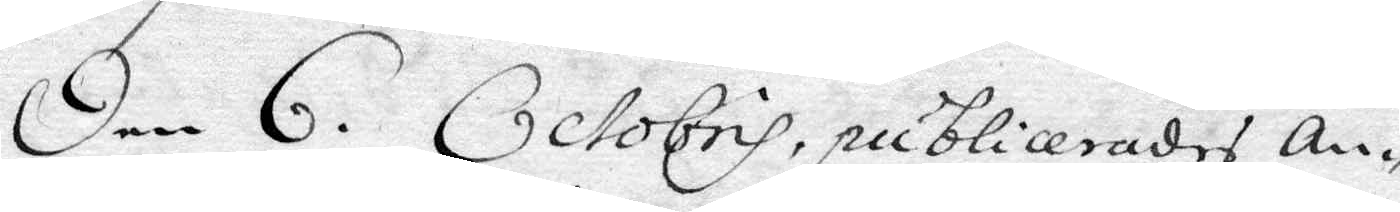Den 6. Octobris, publicerades An¬
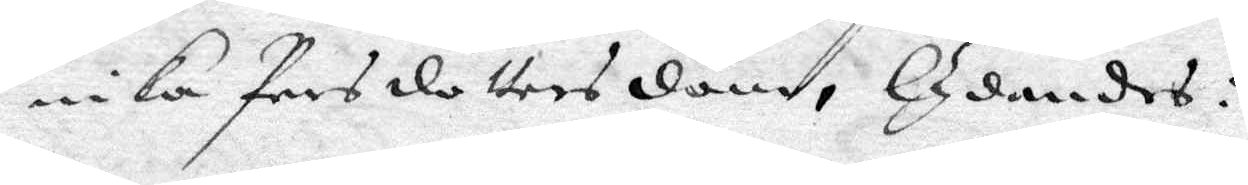nika Persdotters dom, lydandes:
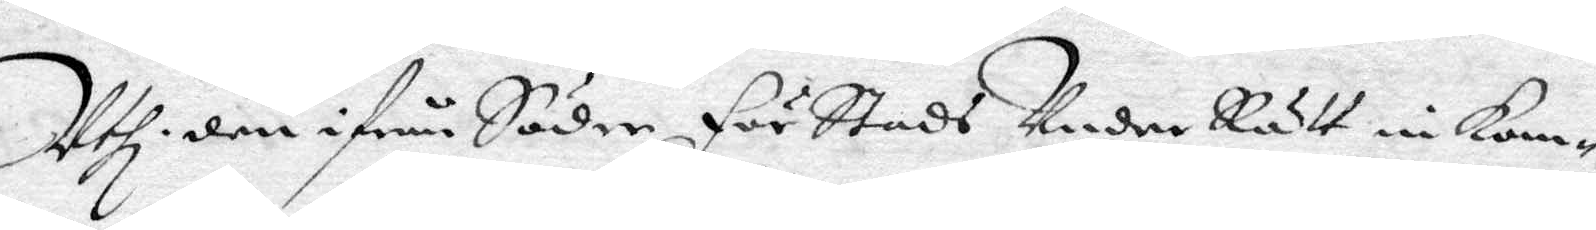Uthi den ifrån Söder För Stads UnderRätt inkom¬
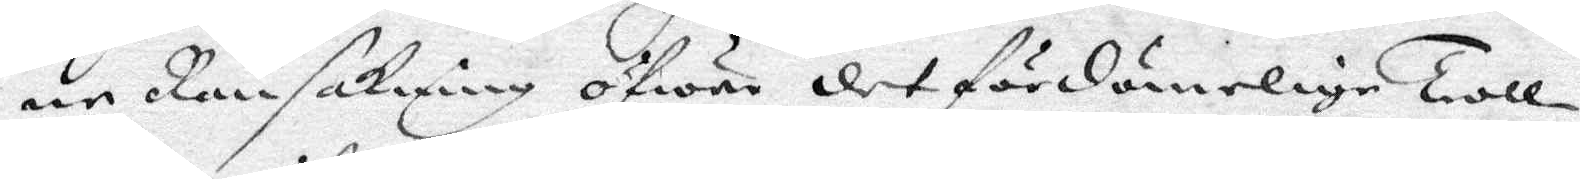ne Ransakning öfwer det fördömelige Troll¬
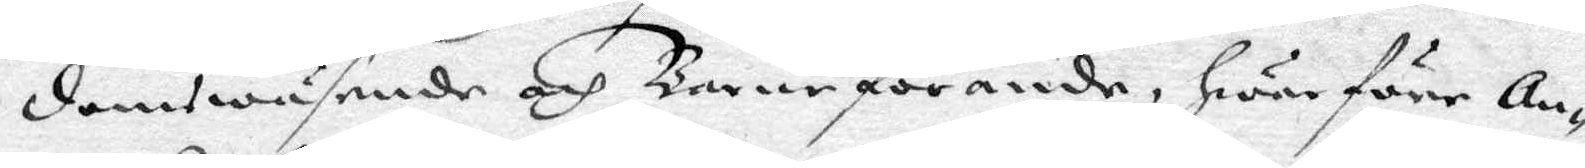domswäsende och Barnaförande, hwarföre An¬
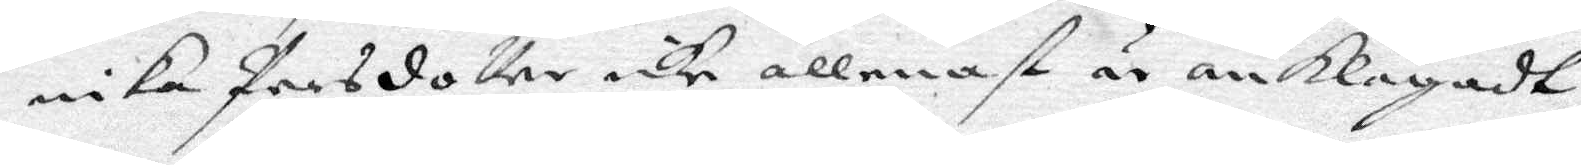nika Persdotter icke allenast är anklagadt
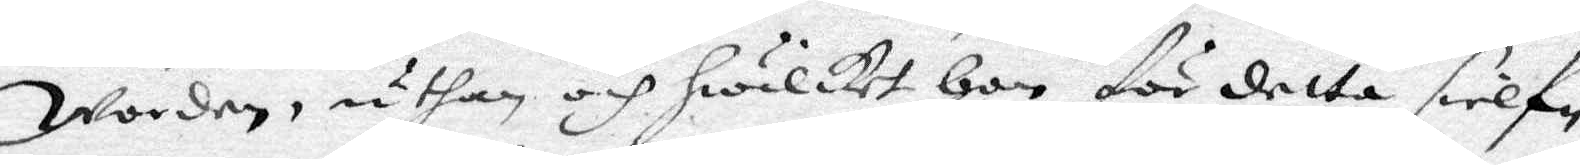Worden, uthan och hwilket hon för detta sielf
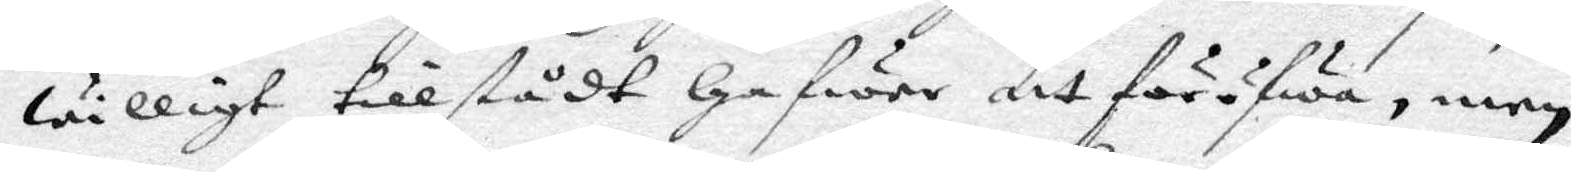willigt tillstådt hafwer att föröfwa, men
